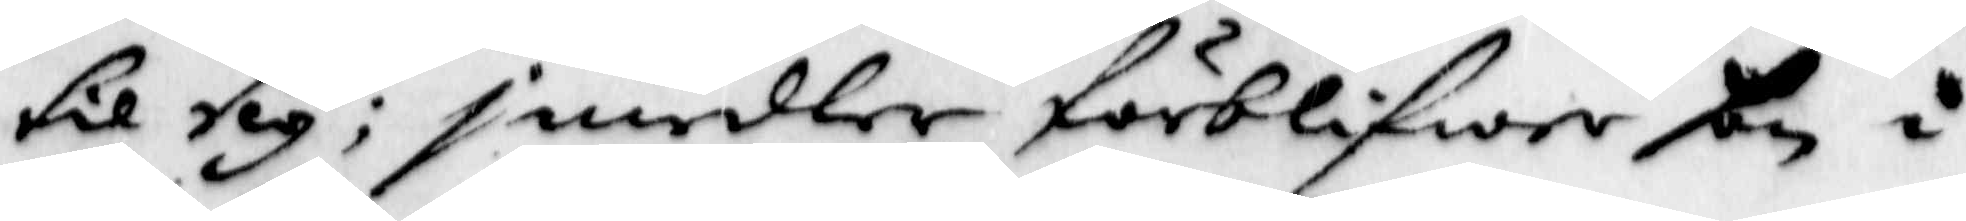til sig: imedler förblifwer hon i
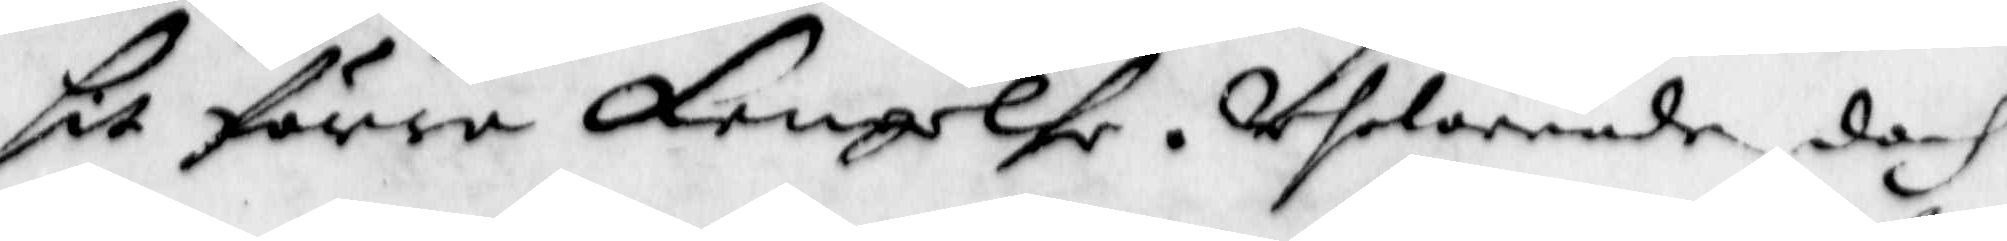sit förra fengelse. Aflovende doch
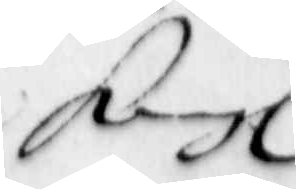Kongl
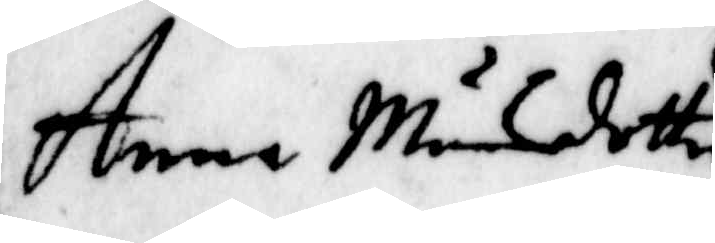Anna Månsdotter
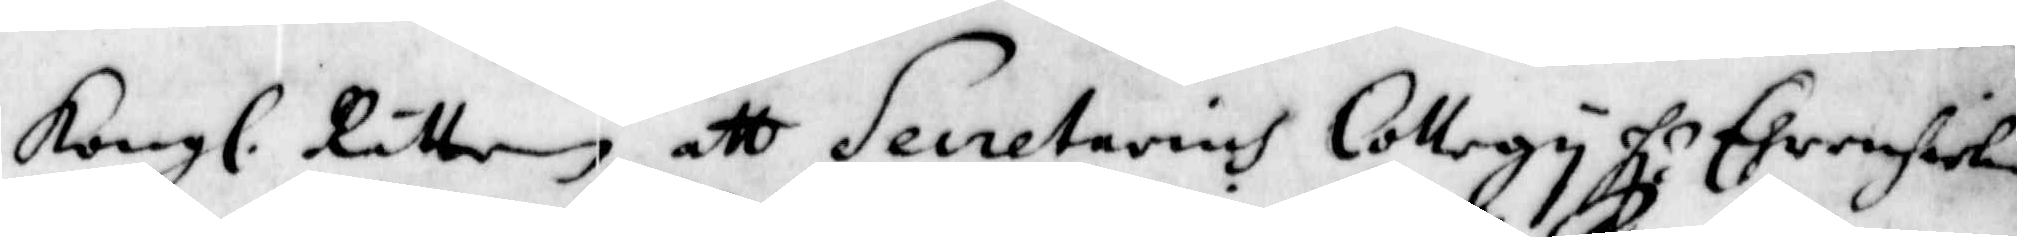Kongl. Rätten att Secretarius Collegy Hl: Ehrenhielm
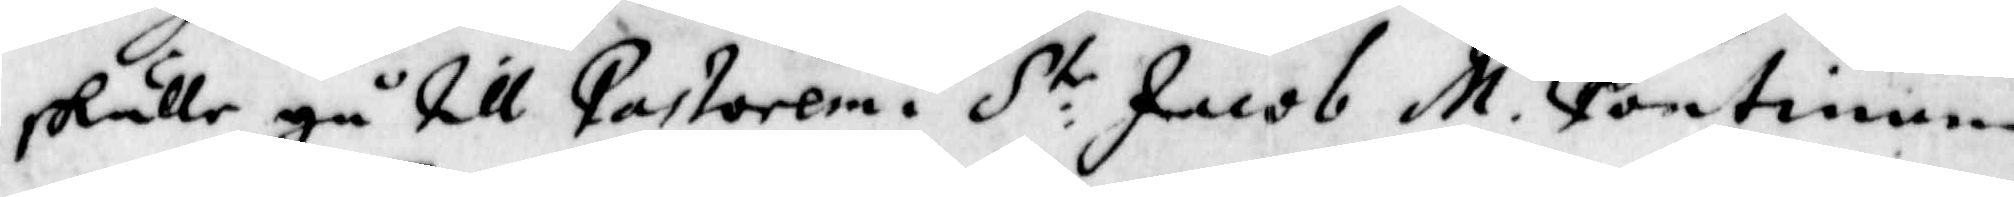skulle gå till Pastoren i S:te Jacob M. Pontinum
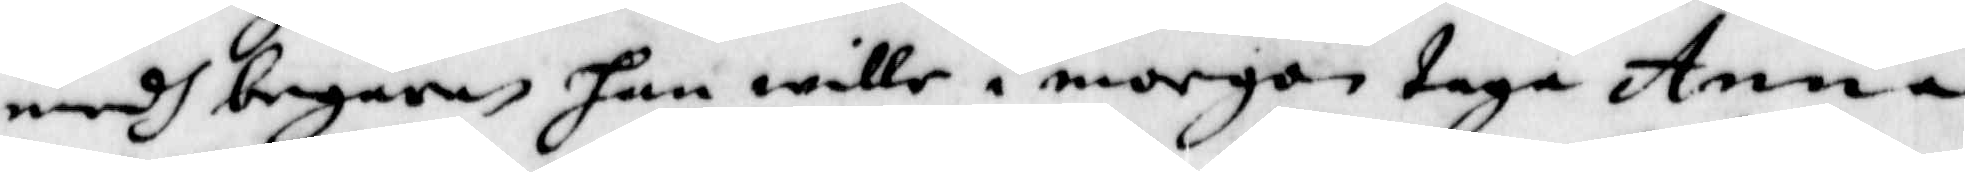medh begäran han wille i morgon taga Anna
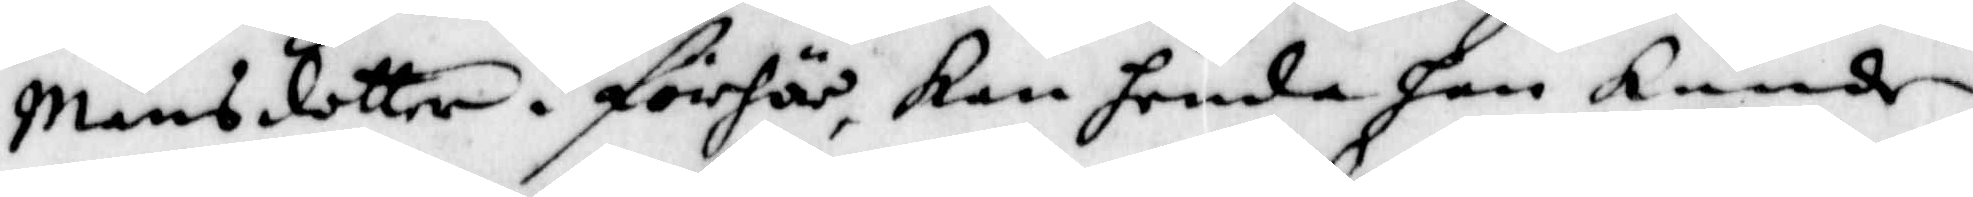Månsdotter i förhör, kan henda han kunde
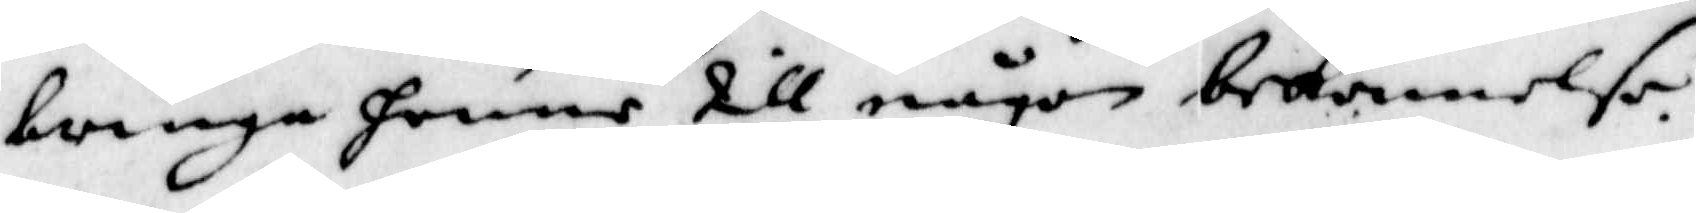bringa henne till någon bekennelse.
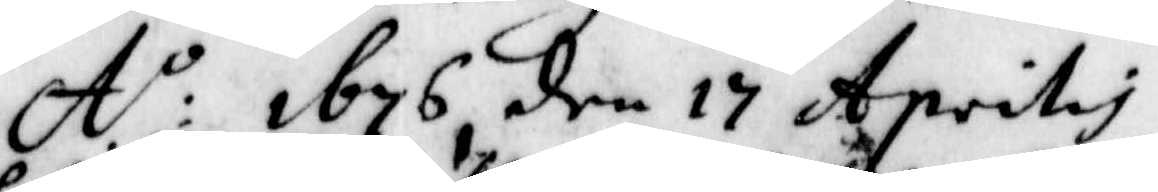A:o 1676 den 17 Aprilis
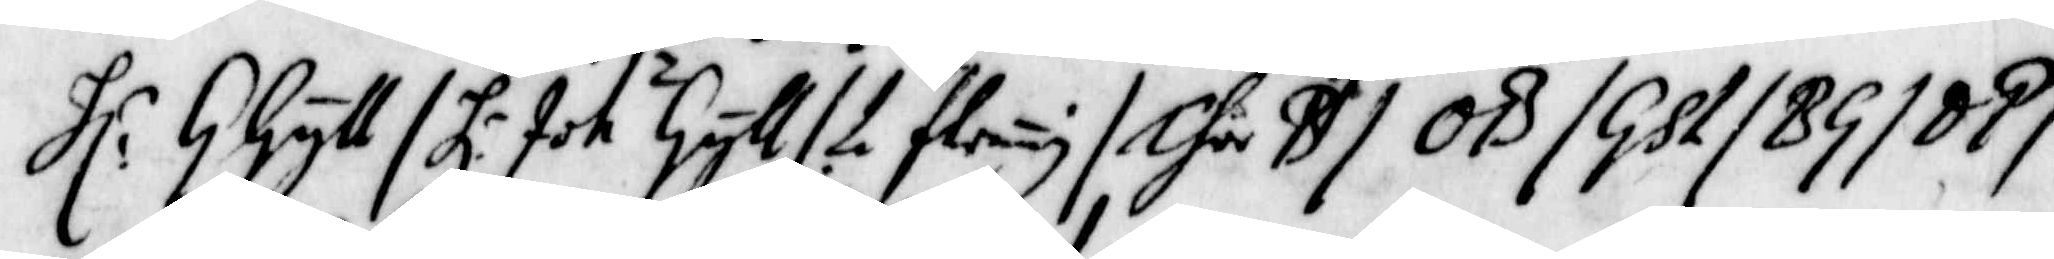Hl: G Gyll/ Hl: Joh Gyll/L flrung/ Chur B/ OB/Gsl/BG/DP/
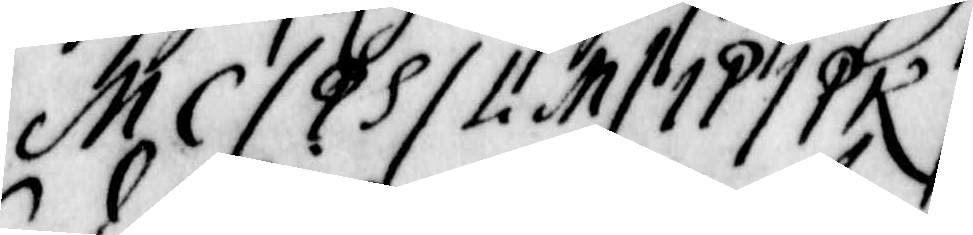MC/PS/Li M/ IP/PK/.
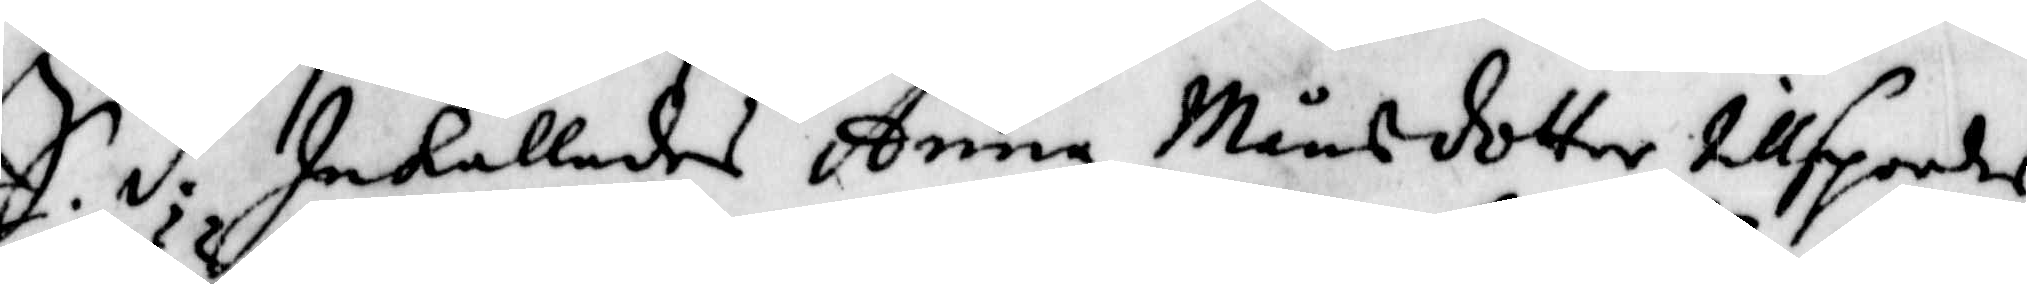S.d. Inkallades Anna Månsdotter tillspordes
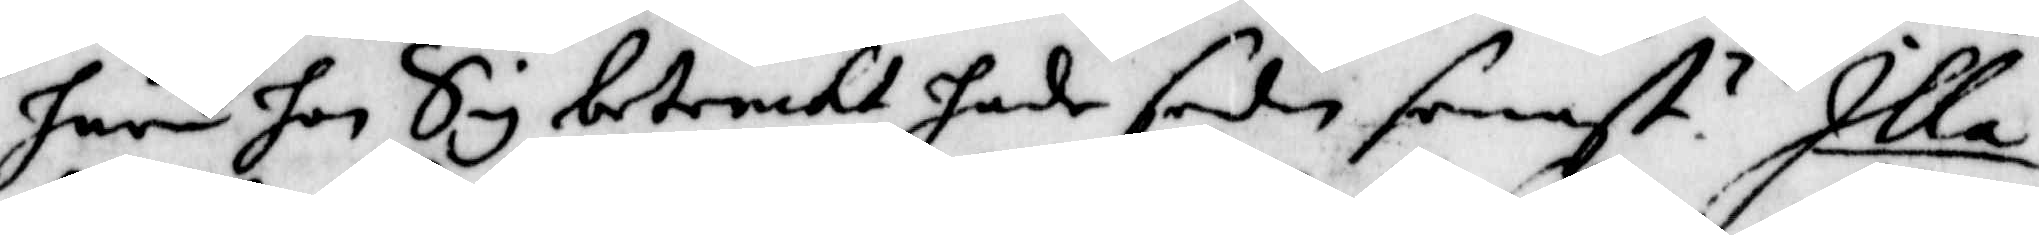huru hon Sig betenckt hade sedan senast? Illa
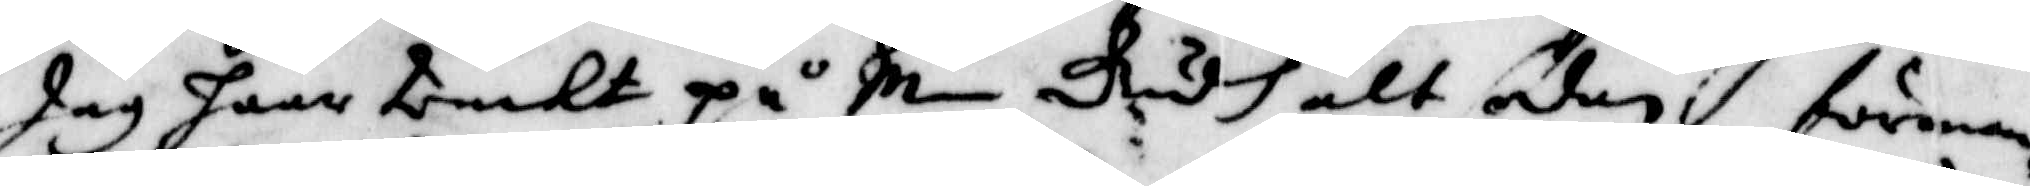Jag haar tenckt på min Gudh alt den förman¬
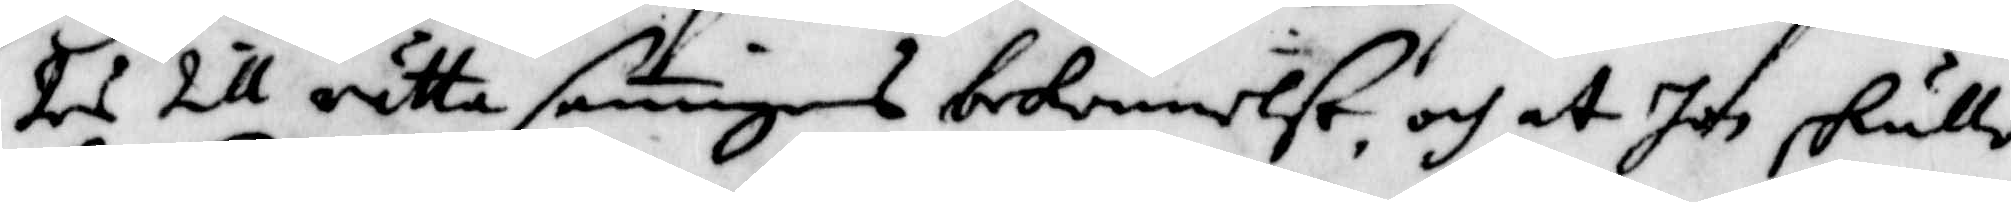des till rätta saningens bekennelse, och at hon skulle
